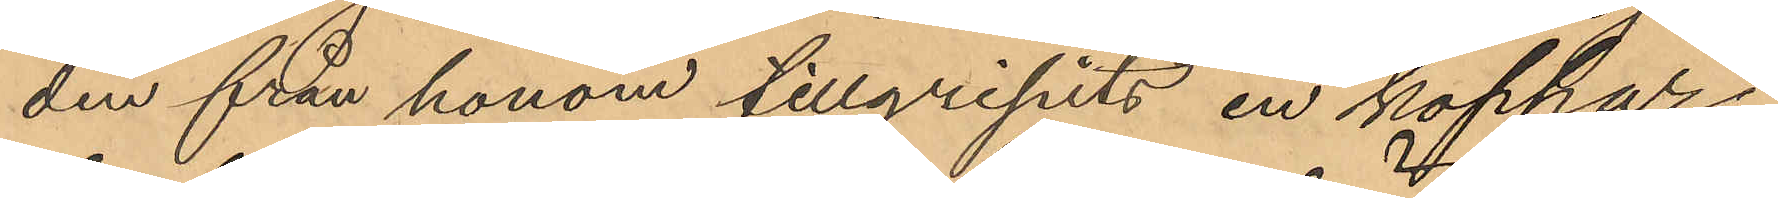den från honom tillgripits en koppar¬
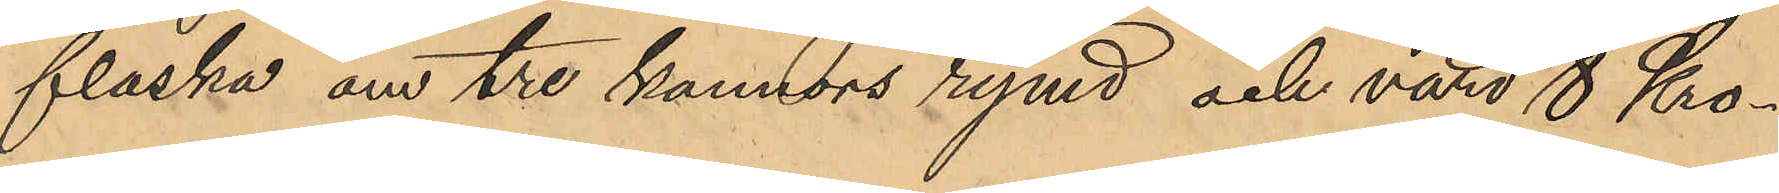flaska om tre kannors rymd och värd 8 Kro¬
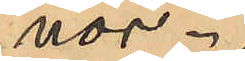nor.
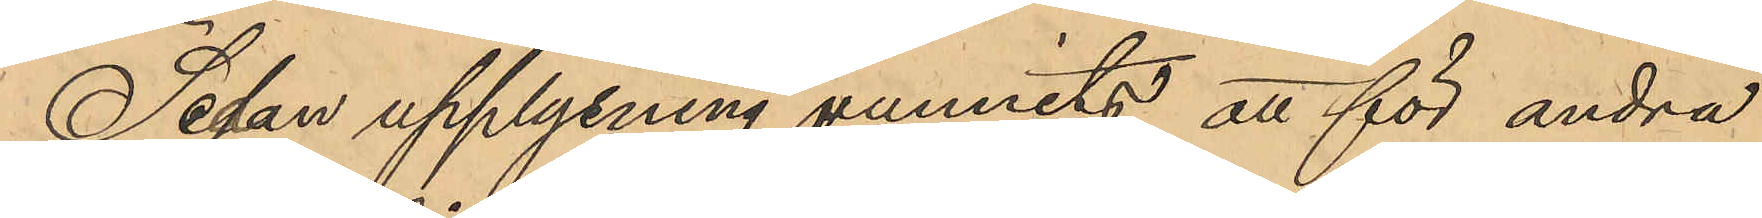Sedan upplysning vunnits att för andra
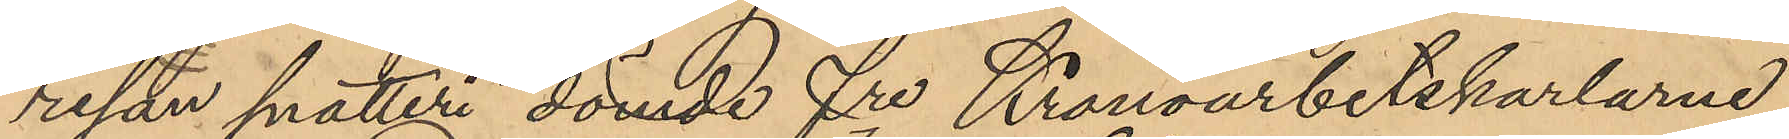resan snatteri dömde fre Kronoarbetskarlarne
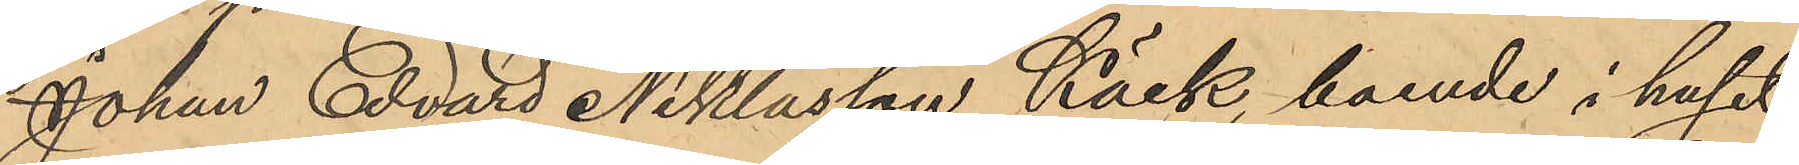Johan Edvard Niklasson Käck, boende i huset
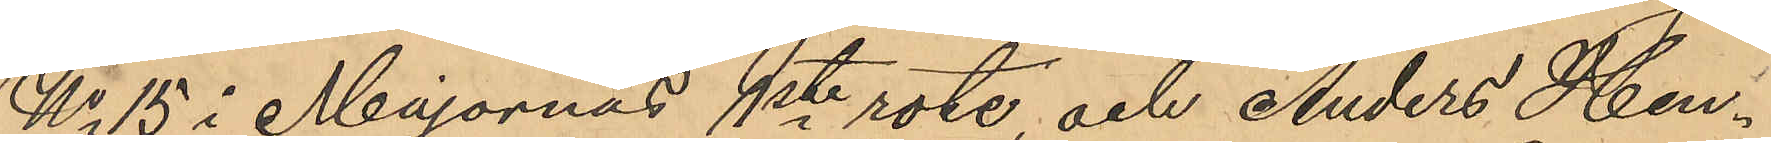No 15 i Majornas 1ste rote, och Anders Hen¬
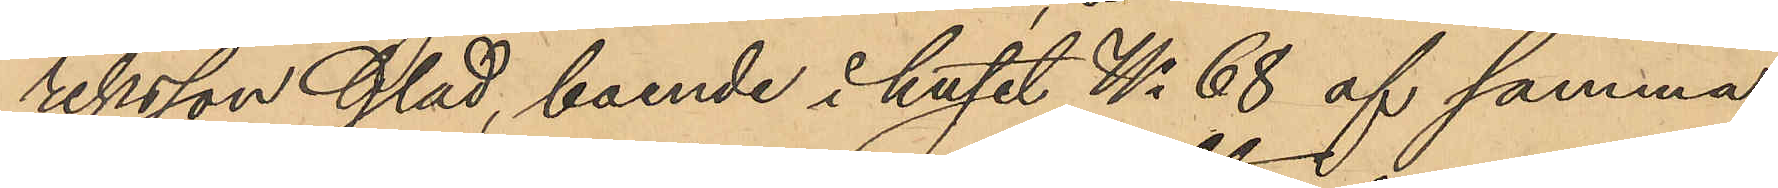riksson Glad, boende i huset No 68 af samma
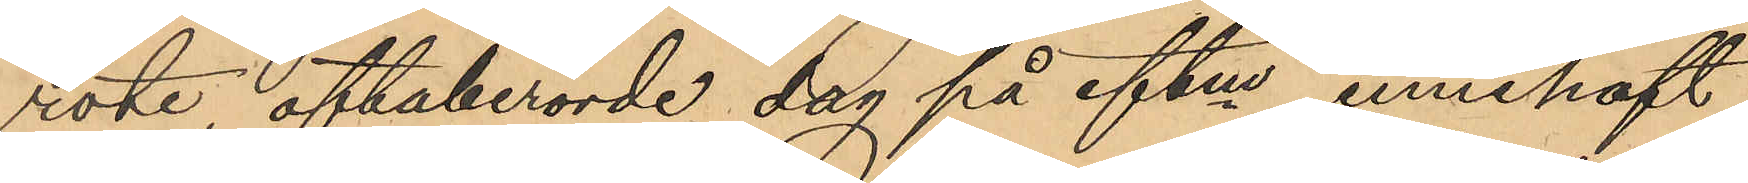rote, oftaberörde dag på eftm innehaft
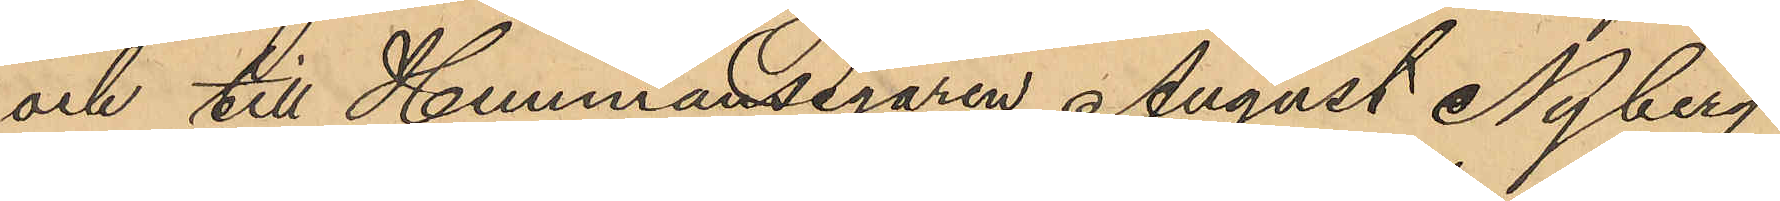och till Hemmansegaren August Nyberg
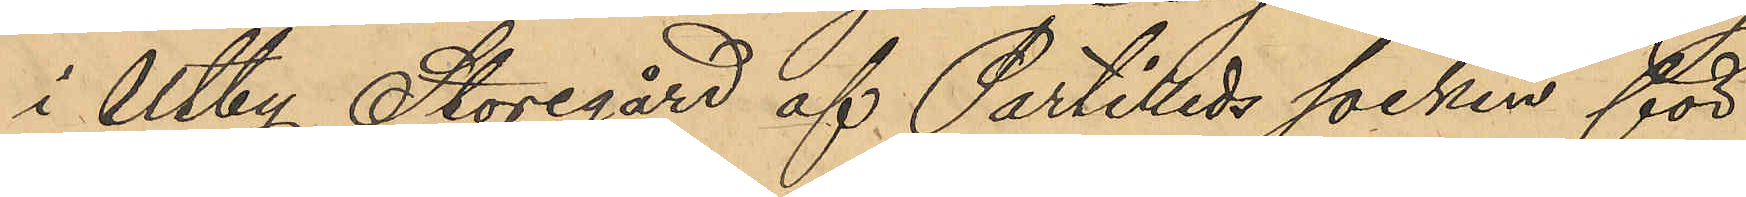i Utby Storegård af Partilleds socken för
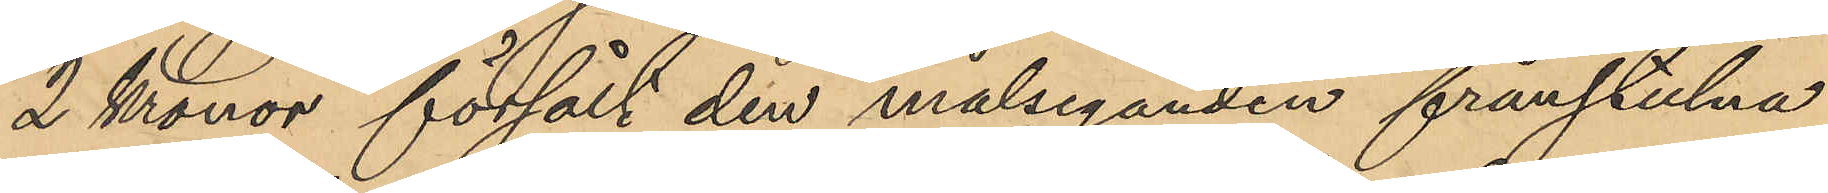2 Kronor försålt den målseganden frånstulna
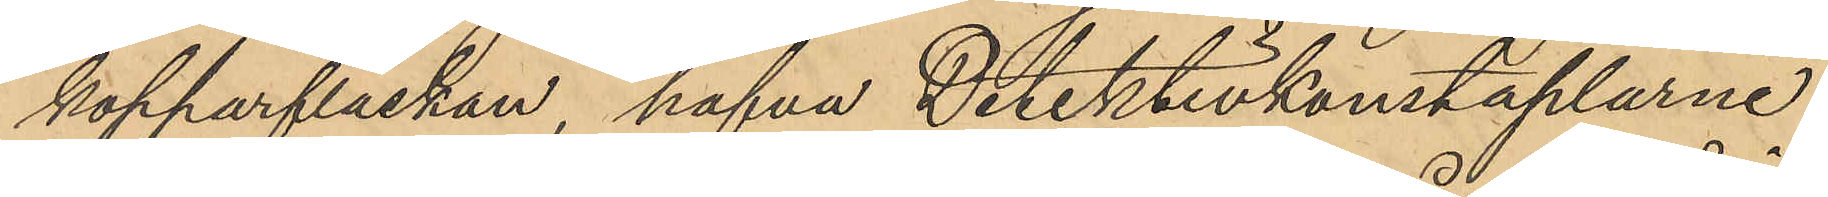kopparflaskan, hafva Detektivkonstaplarne
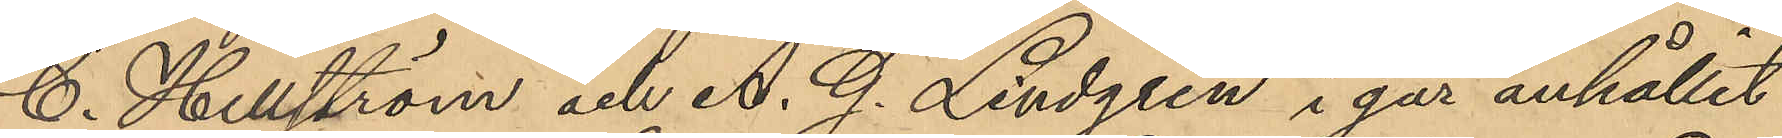C. Hellström och A. G. Lindgren i går anhållit
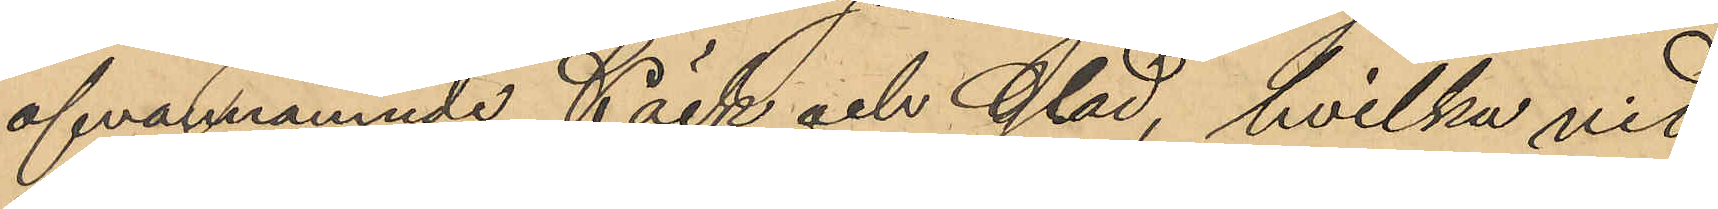ofvannämnde Käck och Glad, hvilka vid
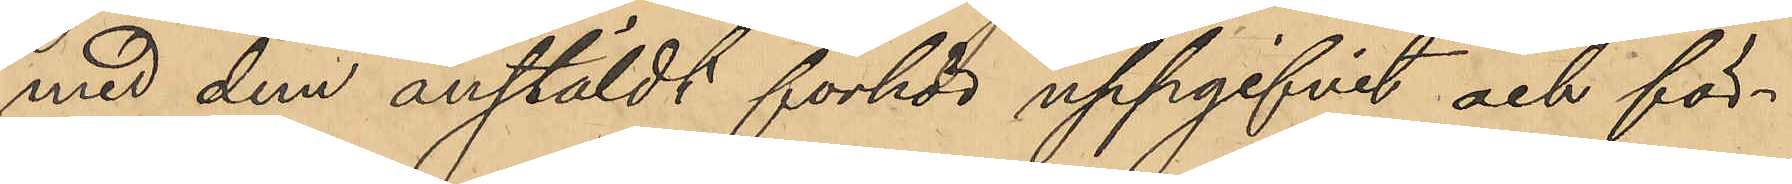med dem anstäldt förhör uppgifvit och för¬
